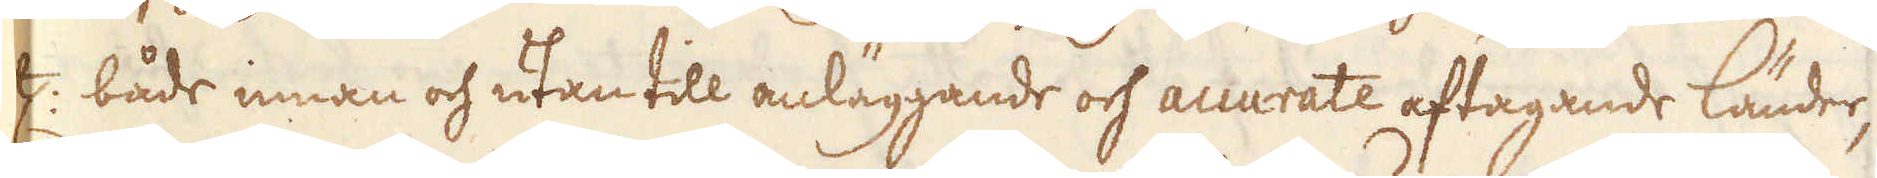etc: både innan och utan till anläggande och accurate aftagande länder,
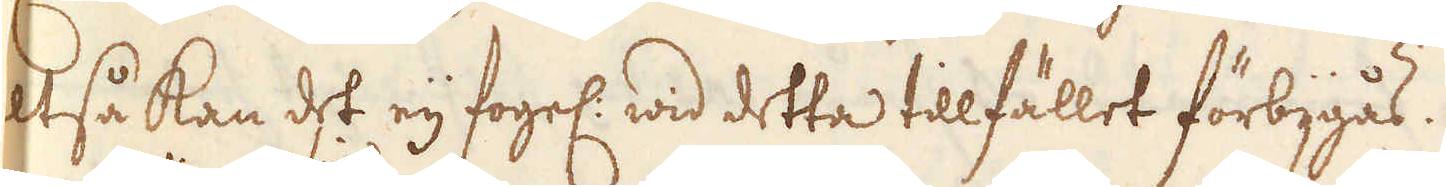altså kan det eij fogel: wid detta tillfället förbijgås.
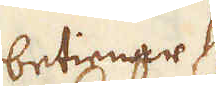betingar sig
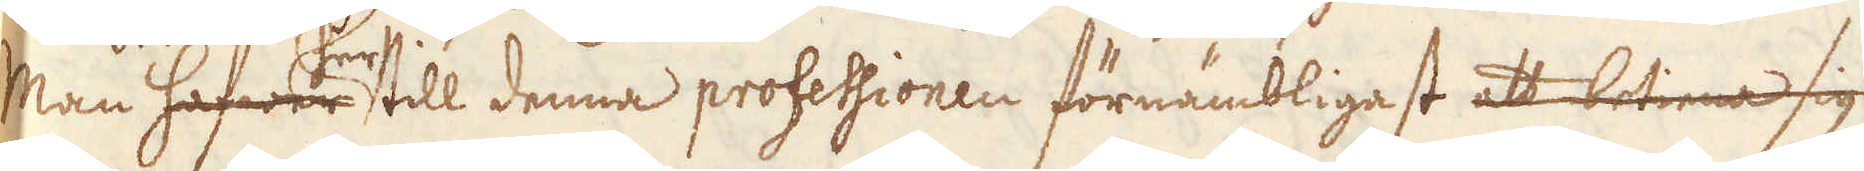Man hafwer har till denna professionen förnämbligast att betiena sig
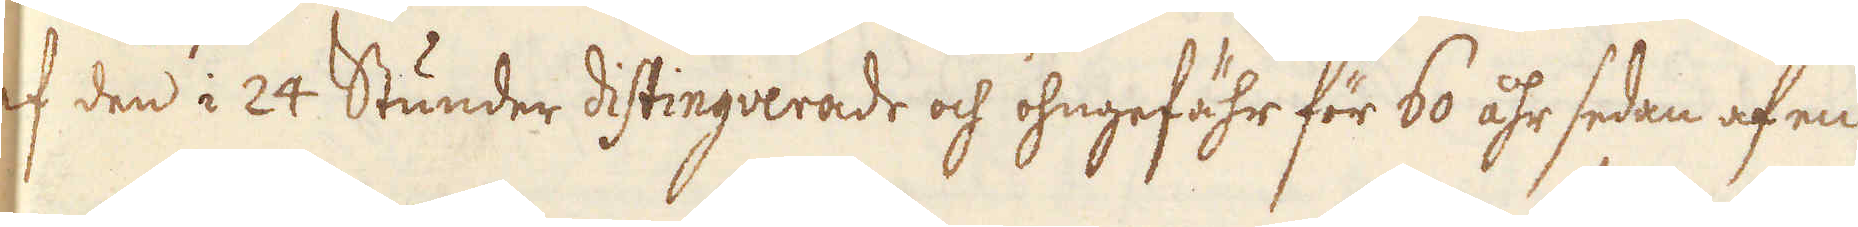af den i 24 Stunder distinguerade och ohngefähr för 60 åhr sedan af en
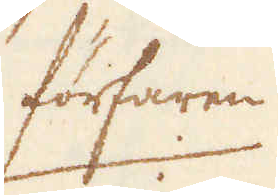förfaren
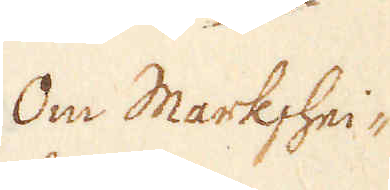Om Markshei-
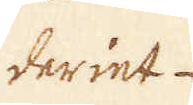deriet.
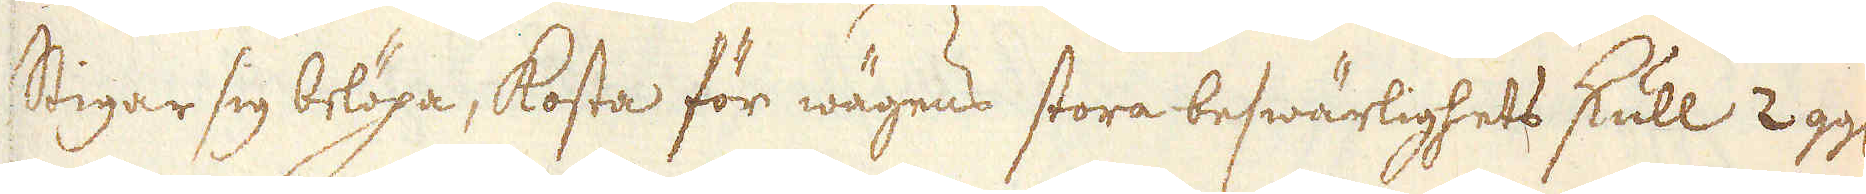Stigar sig belöpa, kosta för wägens stora beswärlighets skull 2 gg:
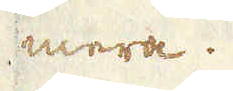mera.
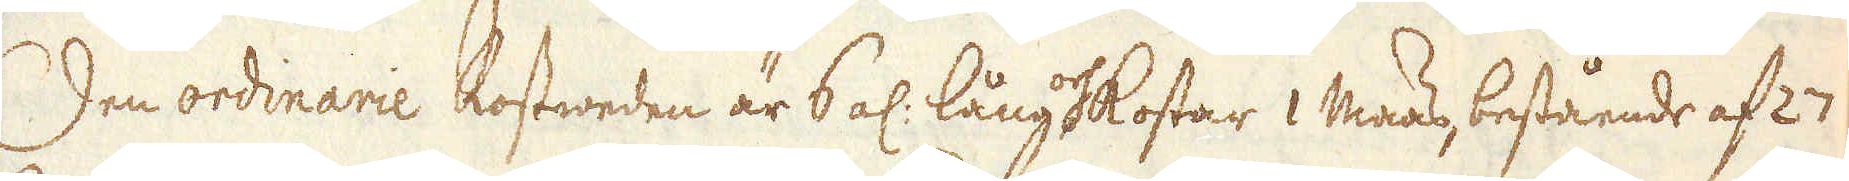Den ordinarie Rostweden är 6 al: lång och kostar 1 Maas, bestånde af 27
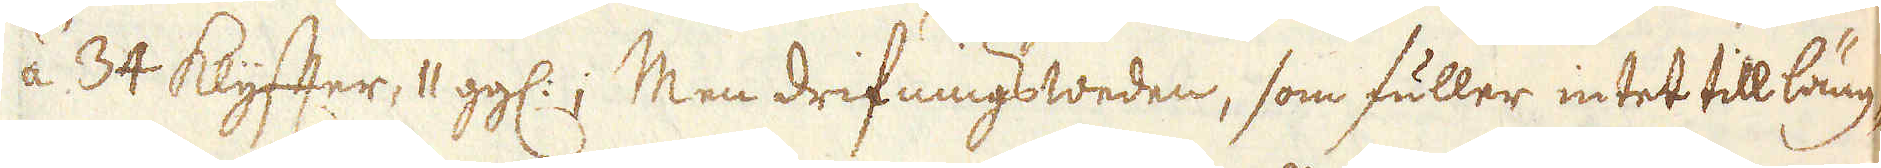á 34 Klyffter, 11 gg:; Men drifningsweden, som fuller intet til läng-
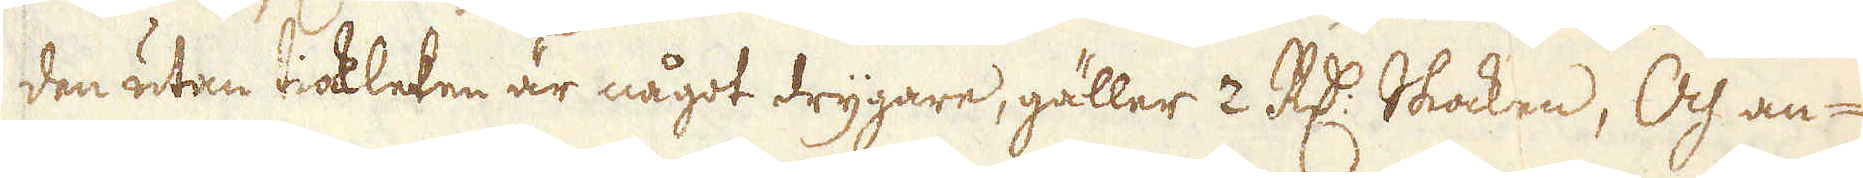den utan tiockleken är något drygare, gäller 2 R:dr Skocken, Och an-
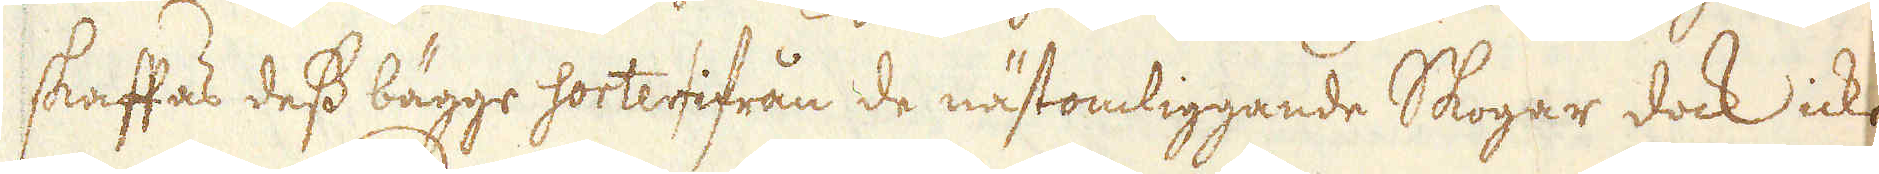skaffas dess bägge sorter ifrån de nästomliggande Skogar dock icke
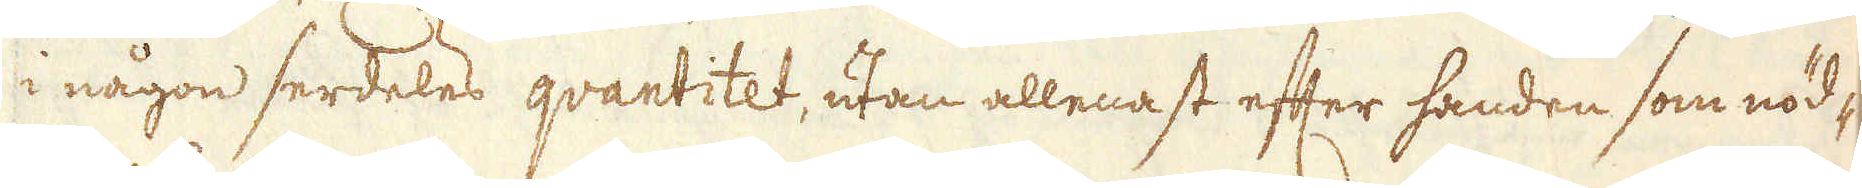i någon serdeles qvantitet, utan allenast efter handen som nöd-
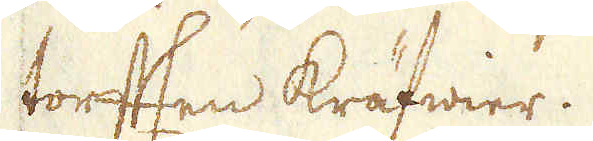torfften kräfwier.
